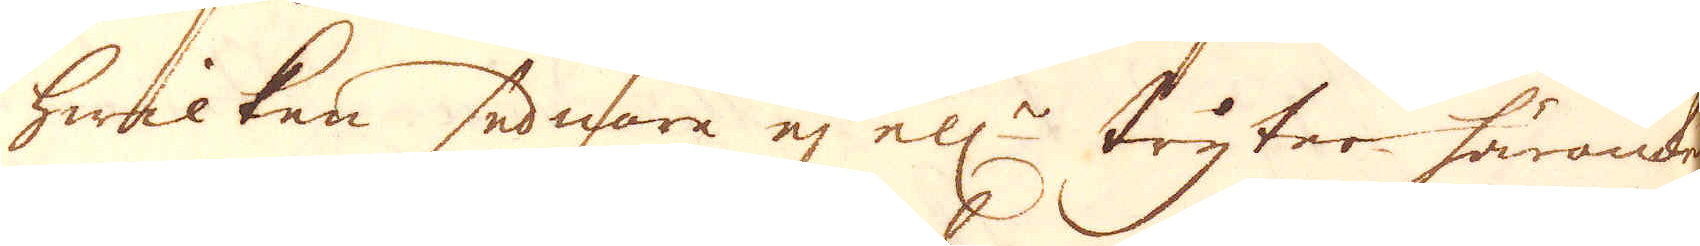hwilken sednare ej ell:r tryter häromkring,
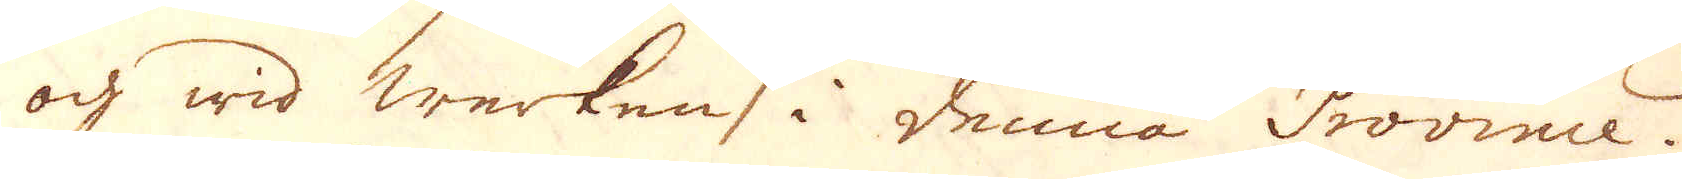och wid werken i denna Province.
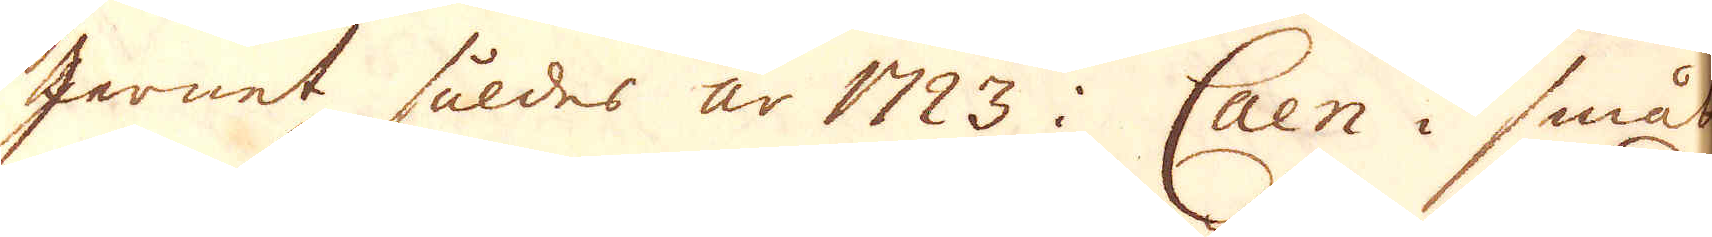Jernet såldes år 1723 i Caen i smås
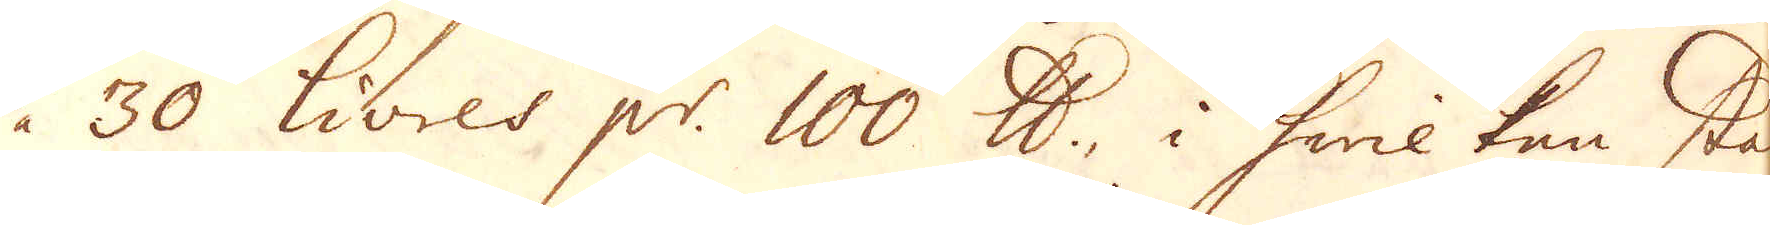à 30 Livres p:r 100 skålpund, i hwilkan stad
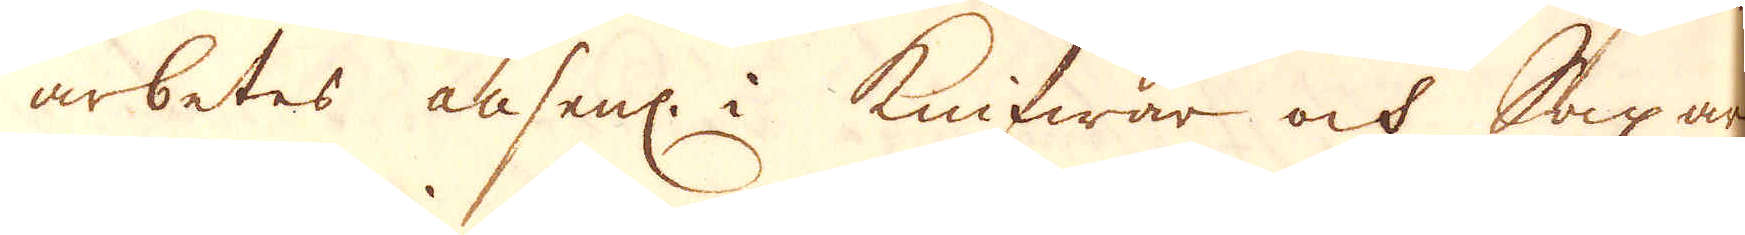arbetes ansenl: i Knifwar och Saxar.
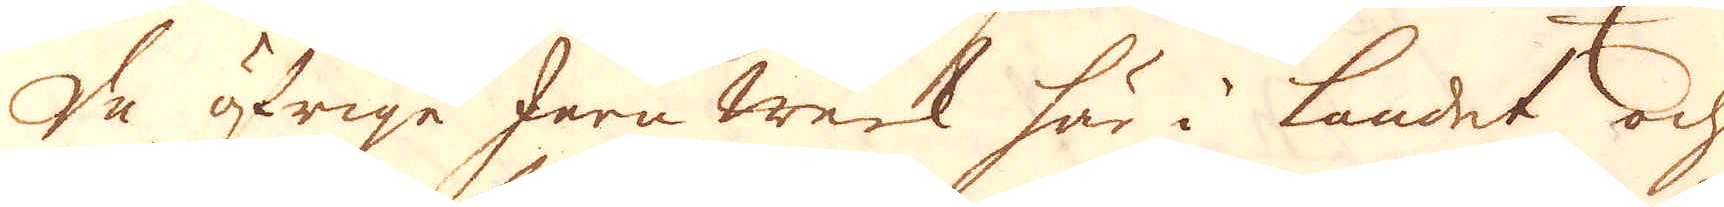De öfrige Jern werk här i landet och
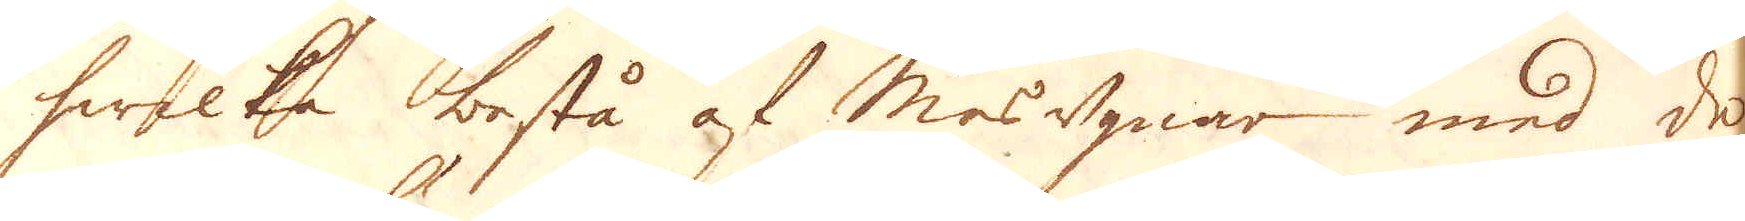hwilka bestå af masugnar med de
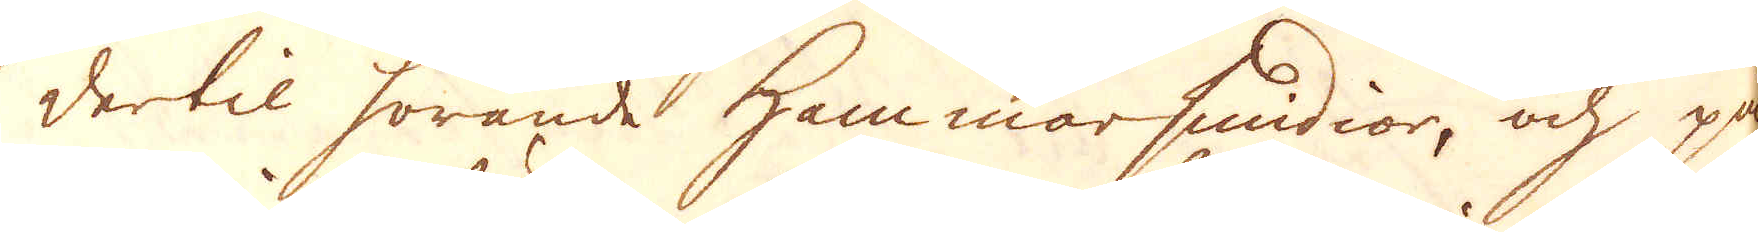dertil hörande Hammarsmidior, och på
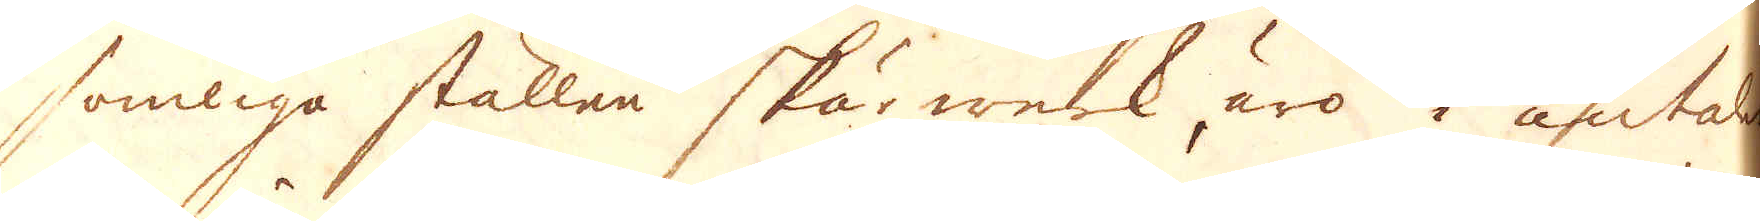somliga ställen skärwerk äro i antalet
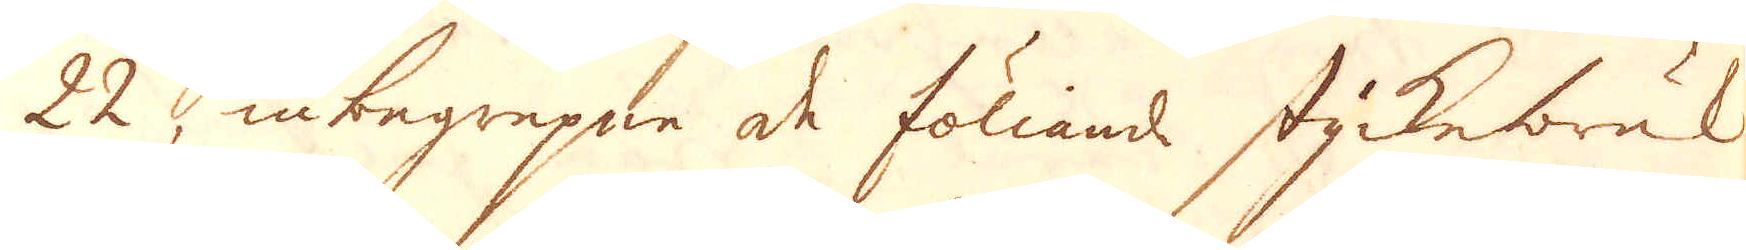22, inbegrepne de föliande styckebruk.
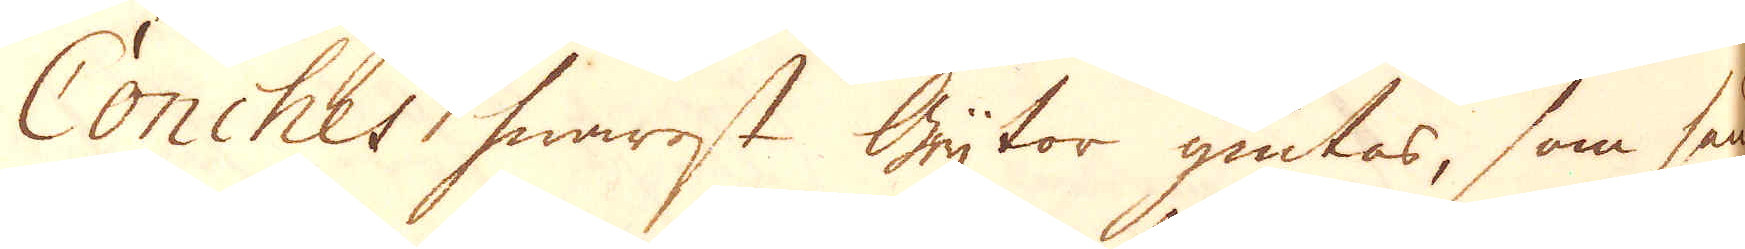Conches hwarest Grytor giutas, som sän-
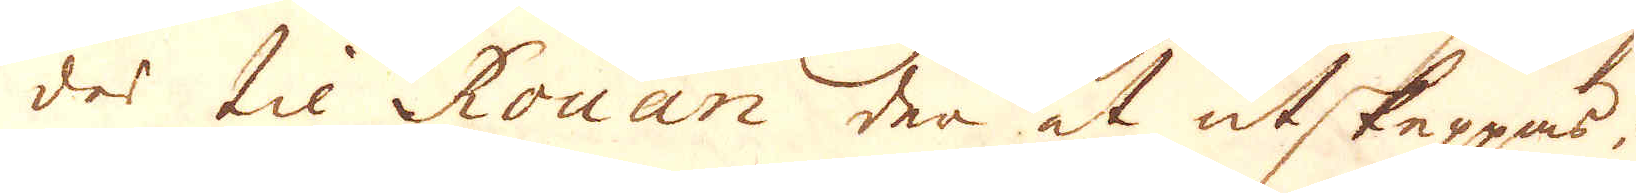des til Rouan der at utskeppas.
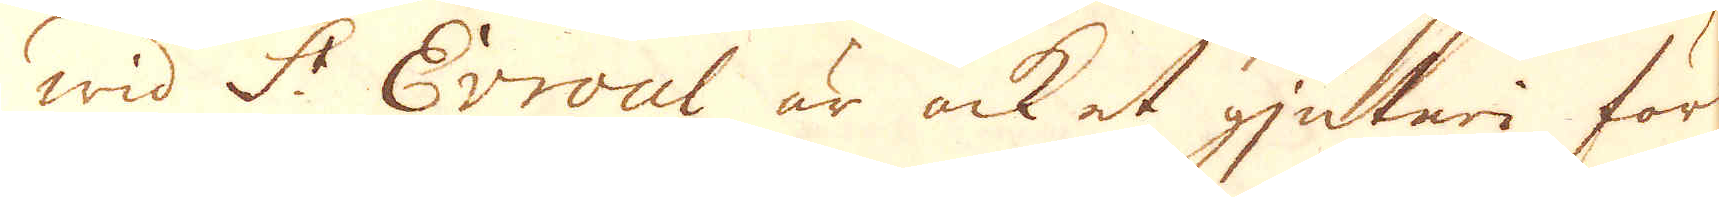Wid S:t Evroul är ock et gjuteri för
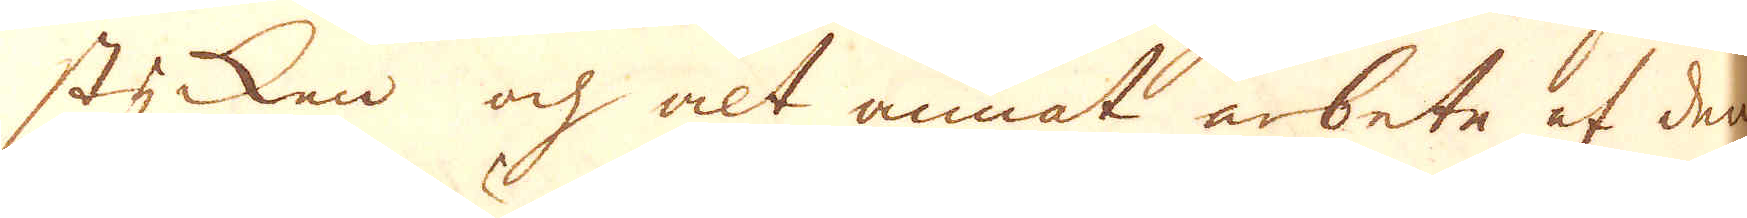stycken och alt annat arbete af denne
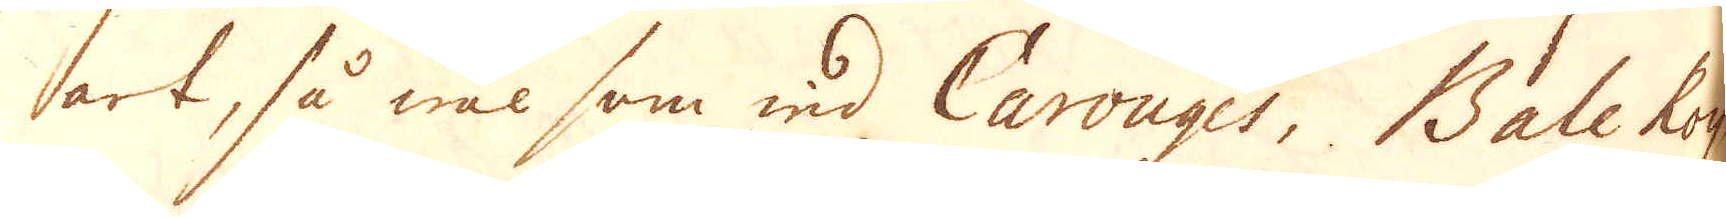art, så wäl som wid Carouges, Bale Roy
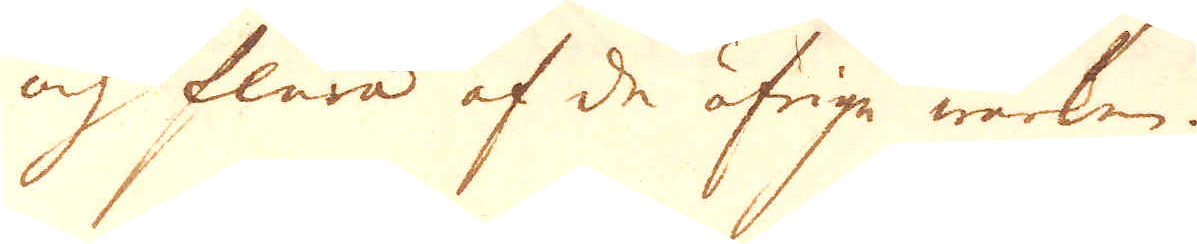och flera af de öfrige werken.
